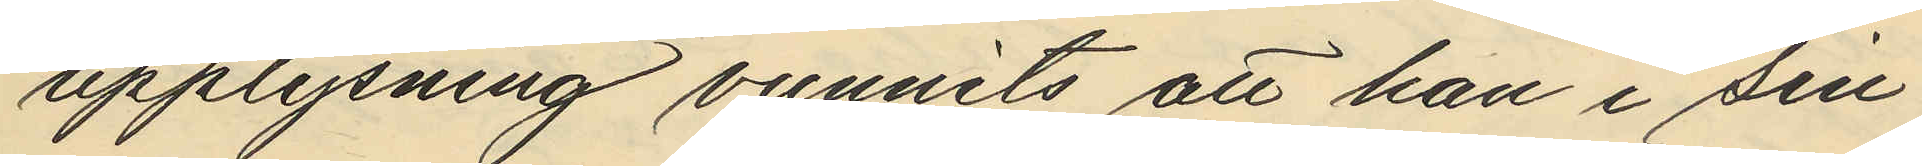upplysning vunnits att han i sin
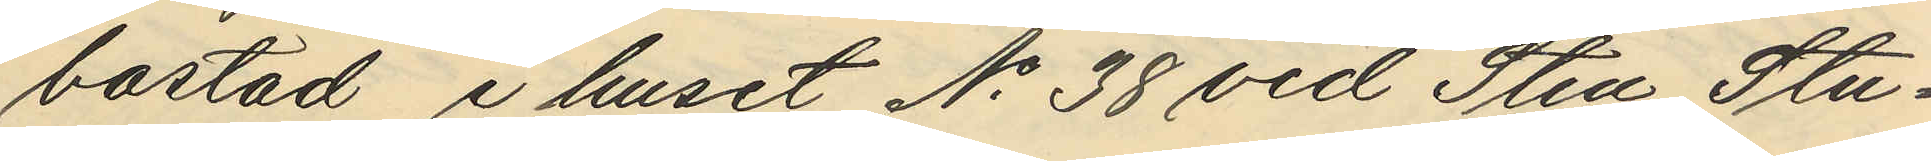bostad i huset No 38 vid Sten Stu¬
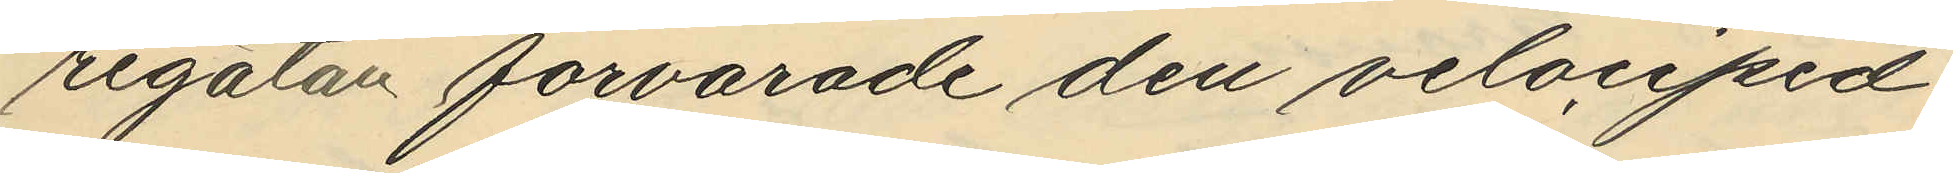regatan förvarade den velociped
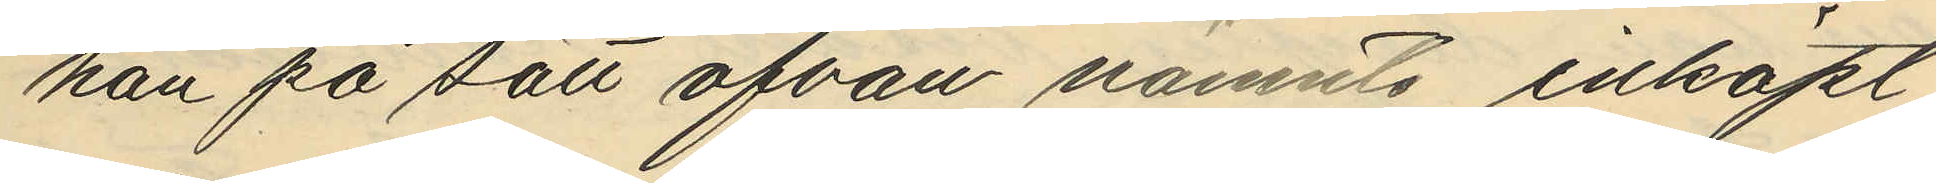han på sätt ofvan nämnts inköpt
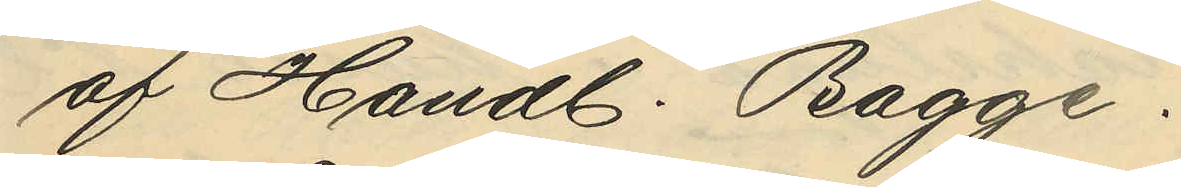af Handl. Bagge.
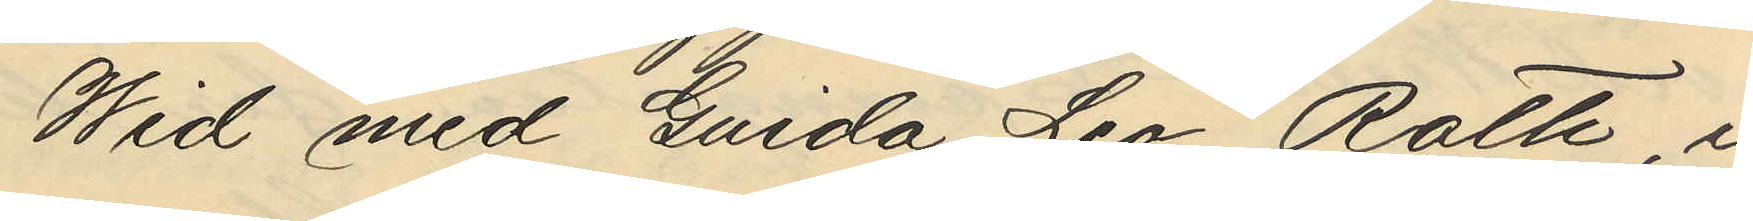Wid med Guido Leo Roth, i
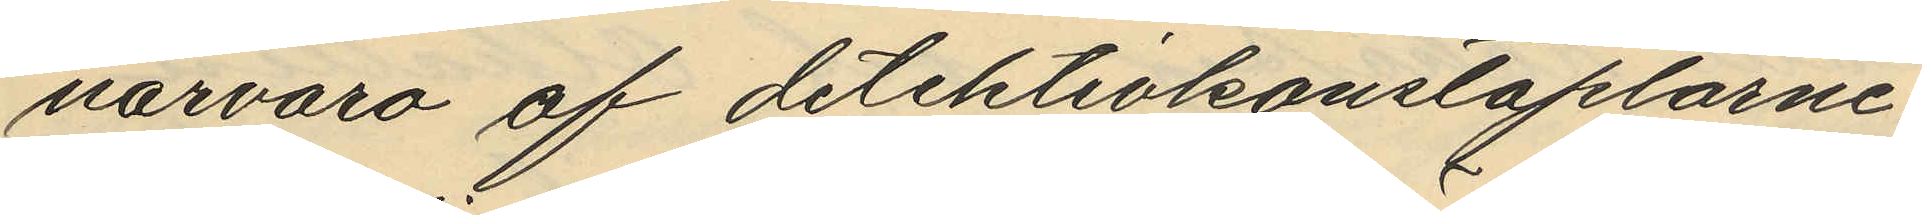närvaro af detektivkonstaplarne
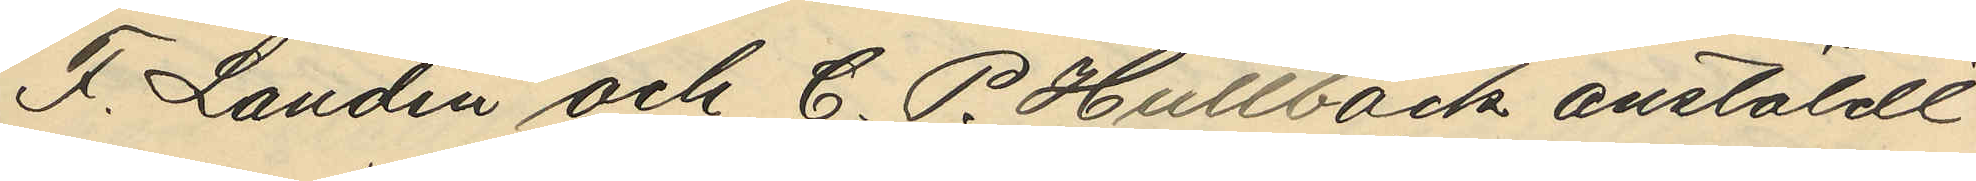F. Landin och C. P. Hullbäck anstäldt
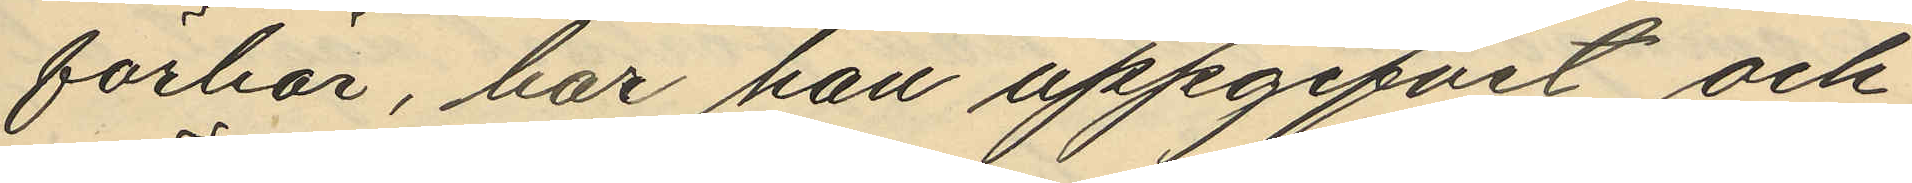förhör, har han uppgifvit och
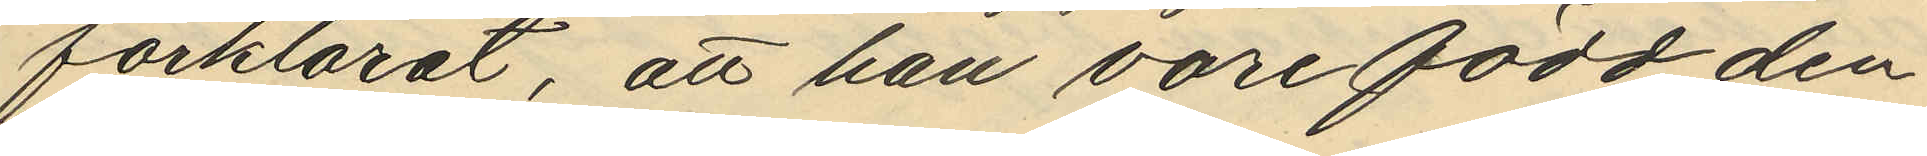förklarat, att han vore född den
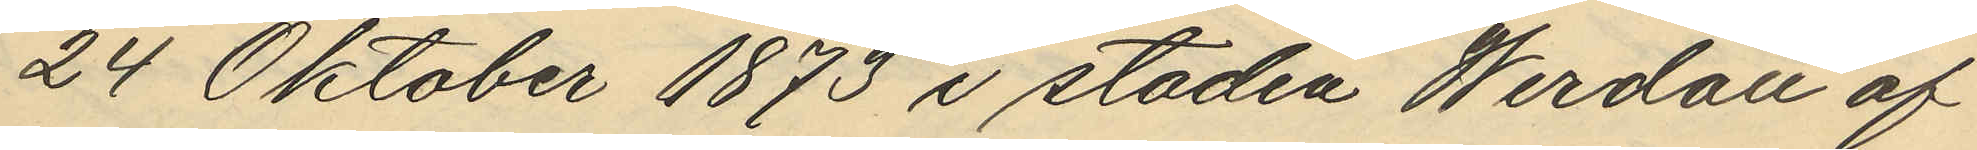24 Oktober 1873 i staden Werdau af
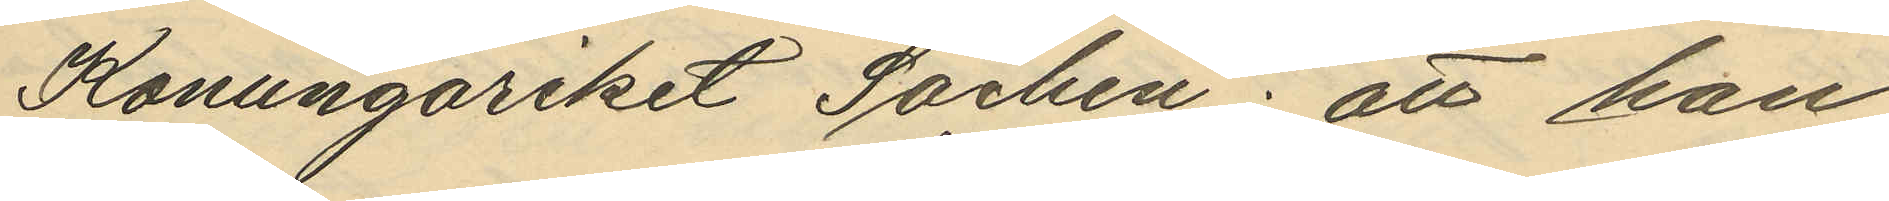Konungariket Sachen: att han
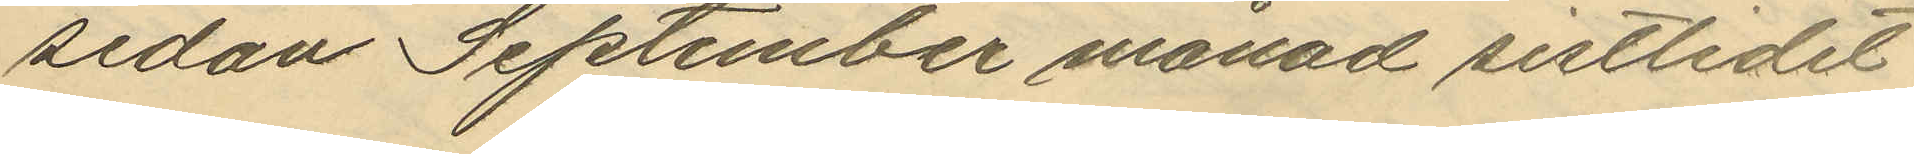sedan September månad sistlidet
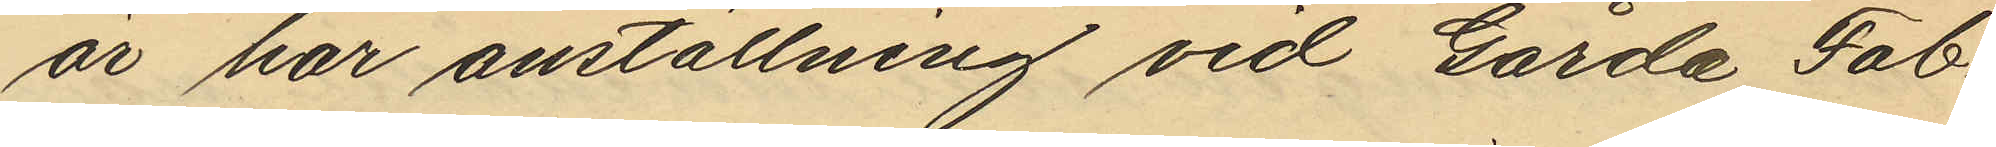år har anställning vid Gårda Fab¬
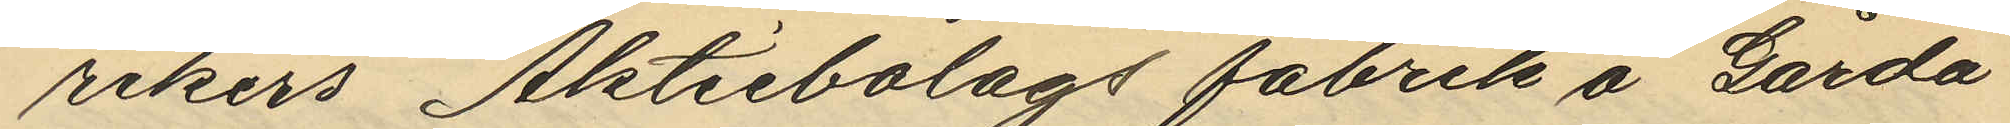rikers Aktiebolags fabrik å Gårda
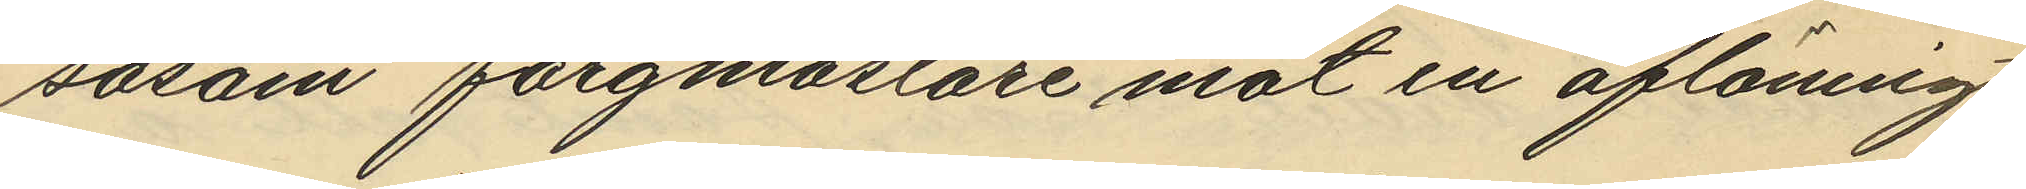såsom färgmästare mot en aflöning
